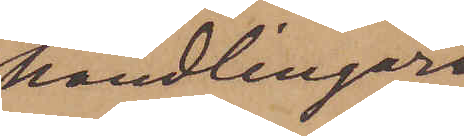handlingar
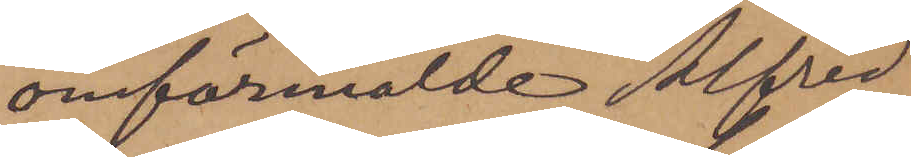omförmälde Alfred
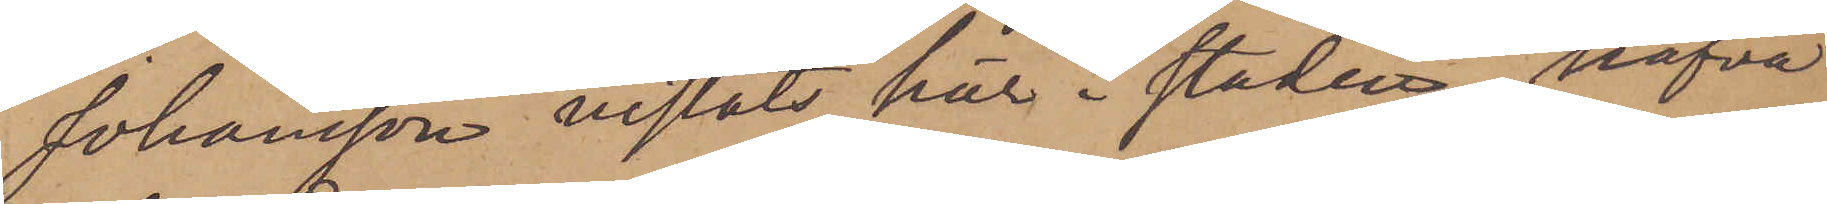Johansson vistats här i staden, hafva
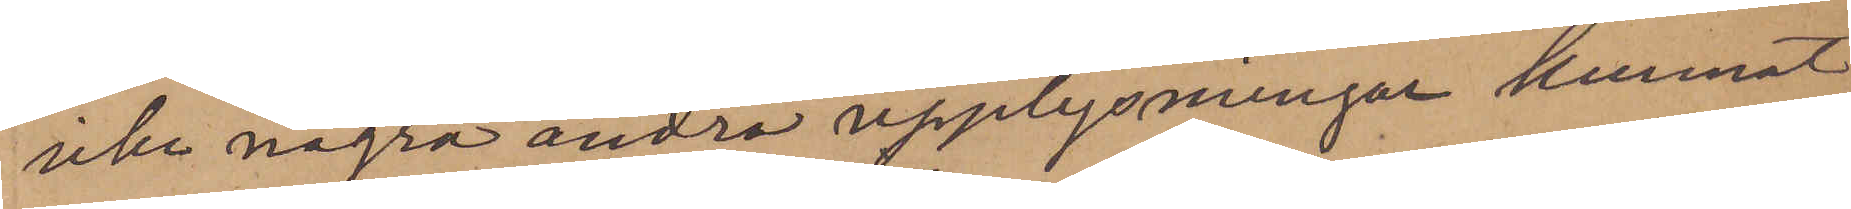icke några andra upplysningar kunnat
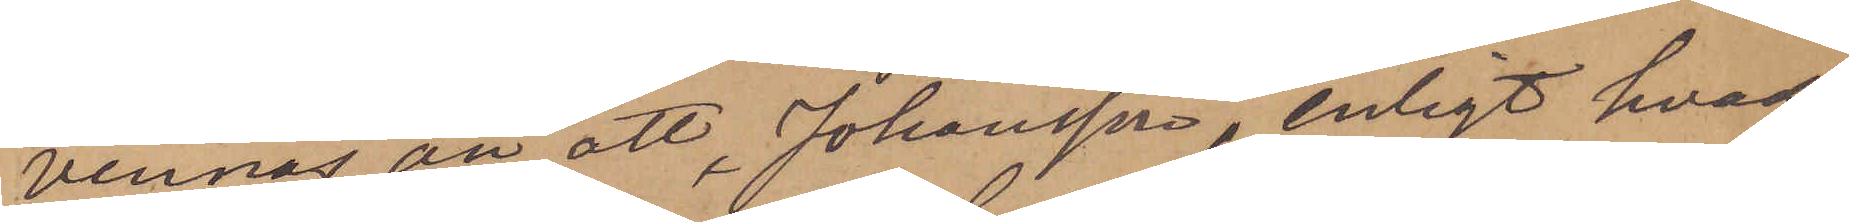vinnas än att Johansson, enligt hvad
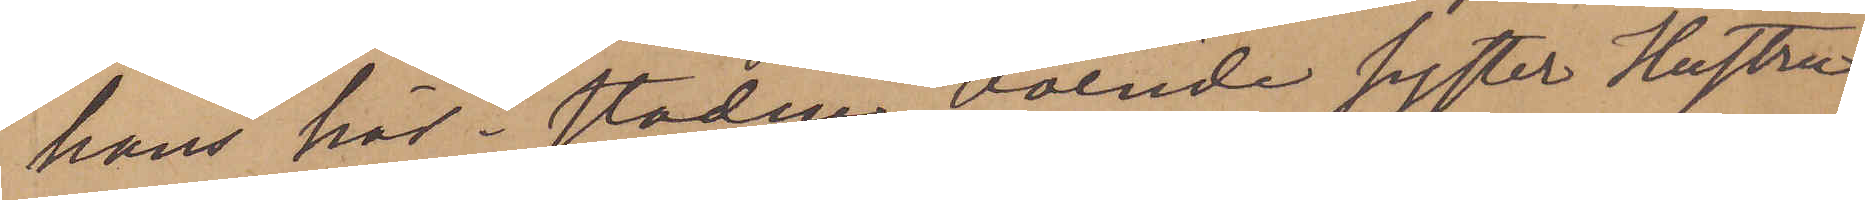hans här i staden boende syster Hustru
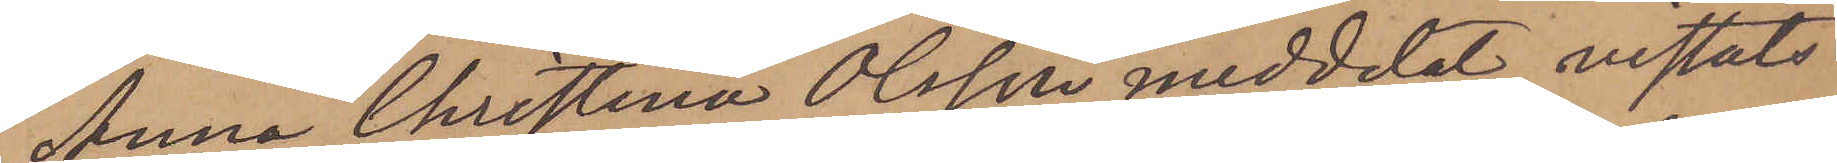Anna Christina Olsson meddelat, vistats
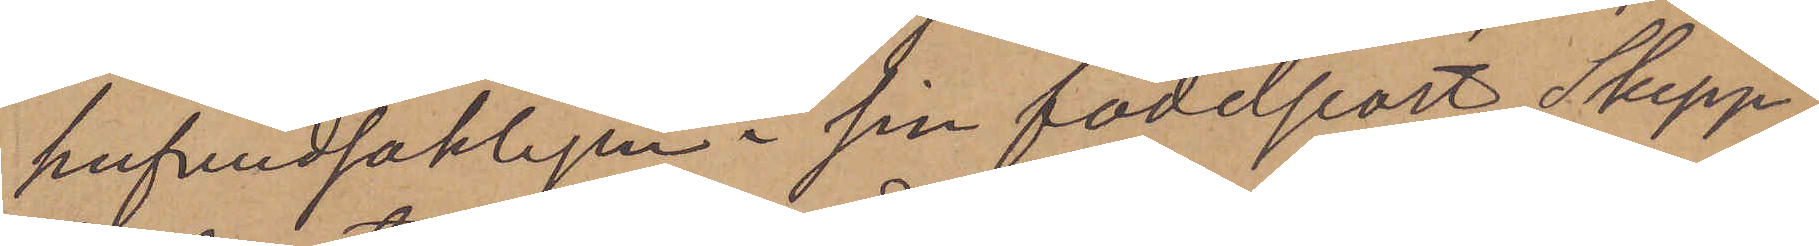hufvudsakligen i sin födelseort Skepp¬
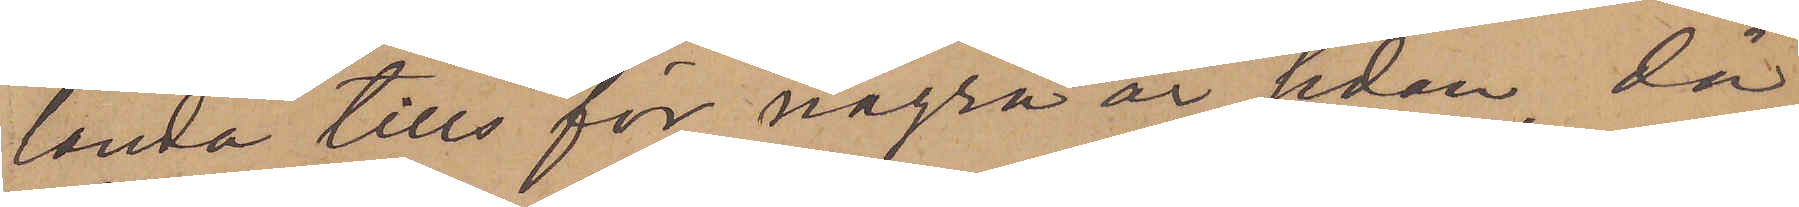landa tills för några år sedan, då
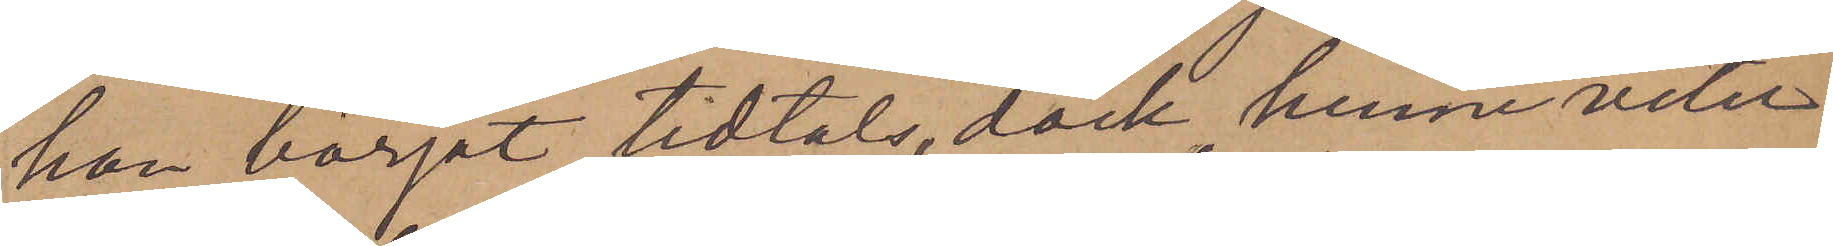han börjat tidtals, dock, henne veter¬
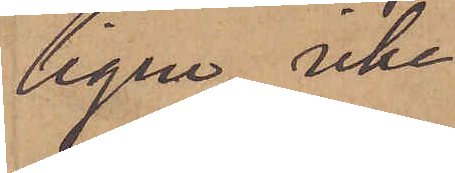ligen, icke
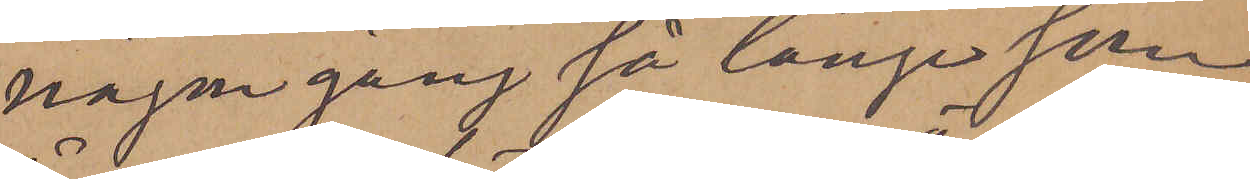någon gång så länge som
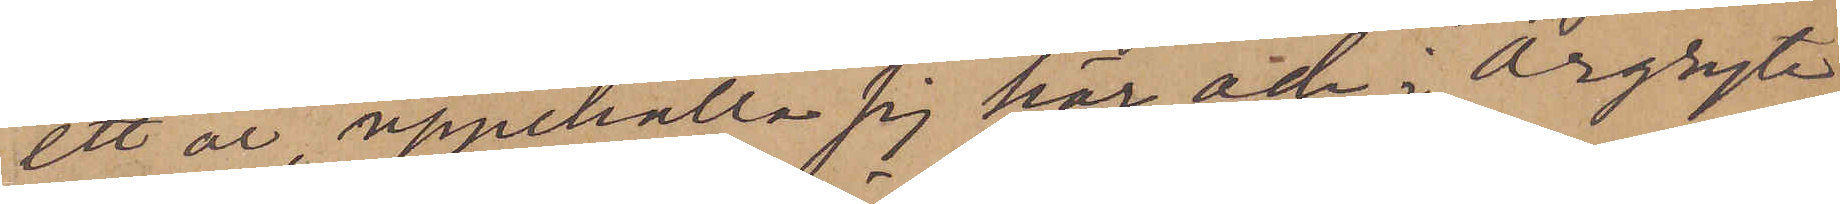ett år, uppehålla sig här och i Örgryte
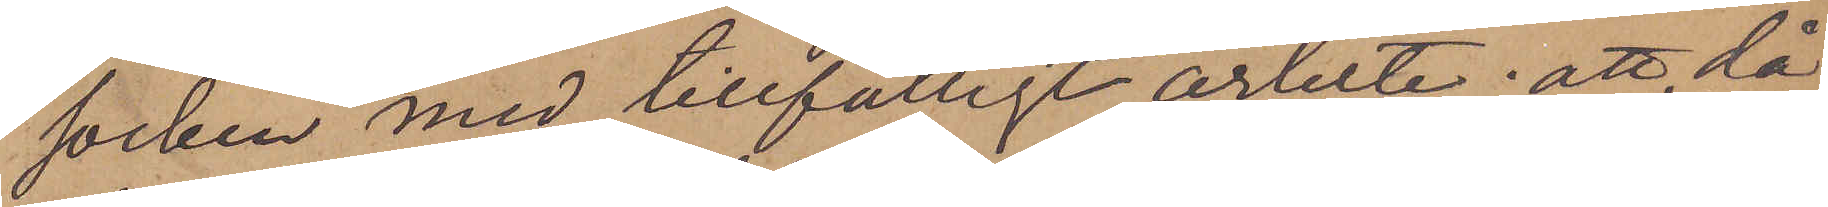socken med tillfälligt arbete; att då
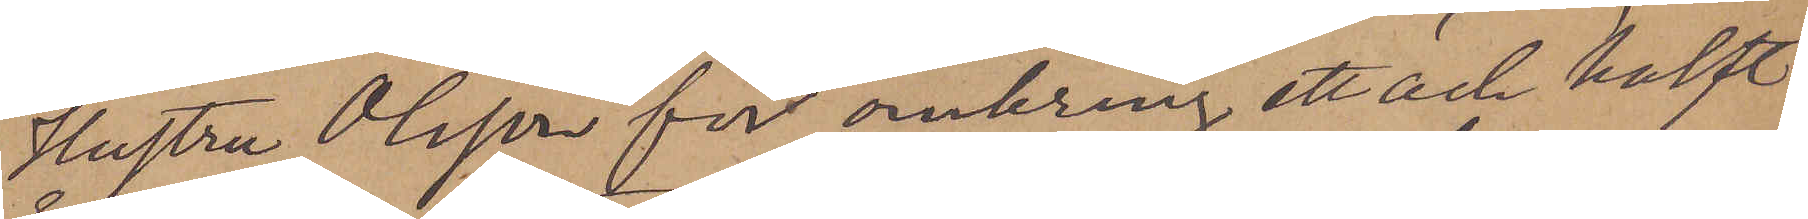Hustru Olsson för omkring ett och halft
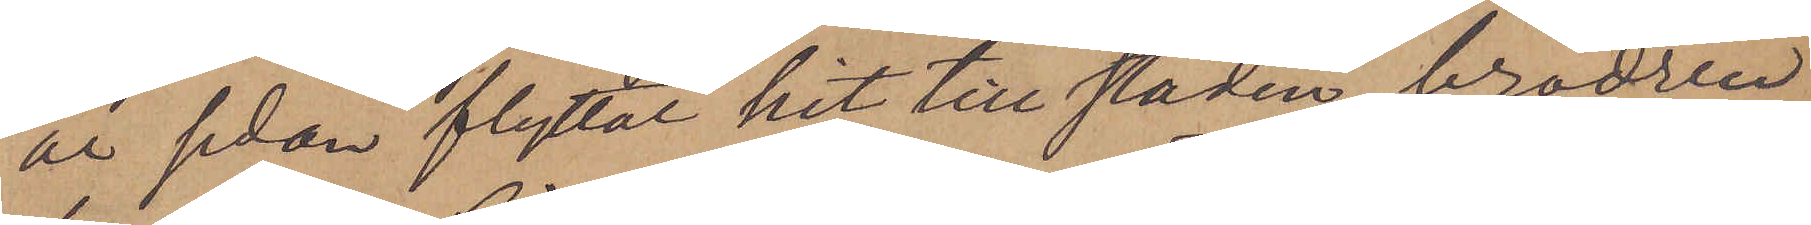år sedan flyttat hit till staden, brodren
